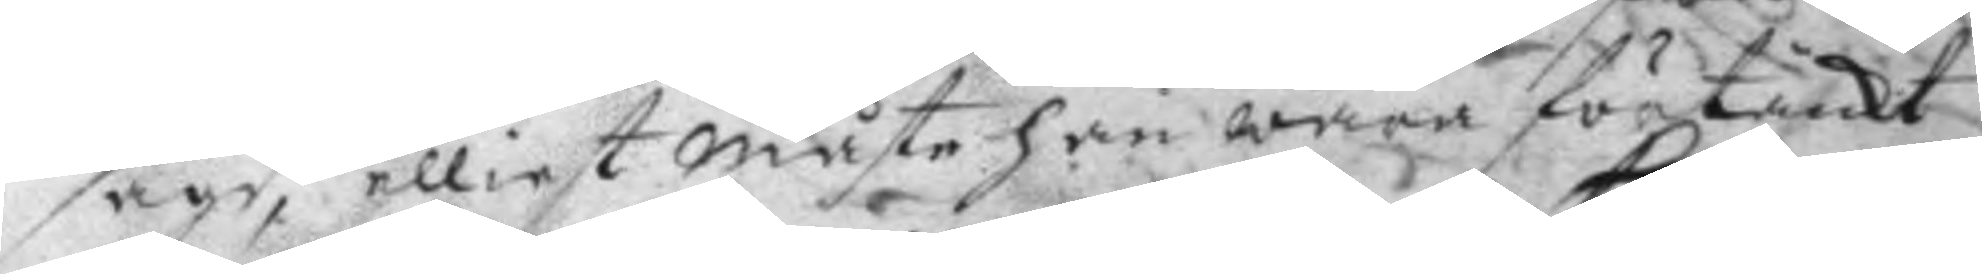sagd, elliest måste han wara förtänkt
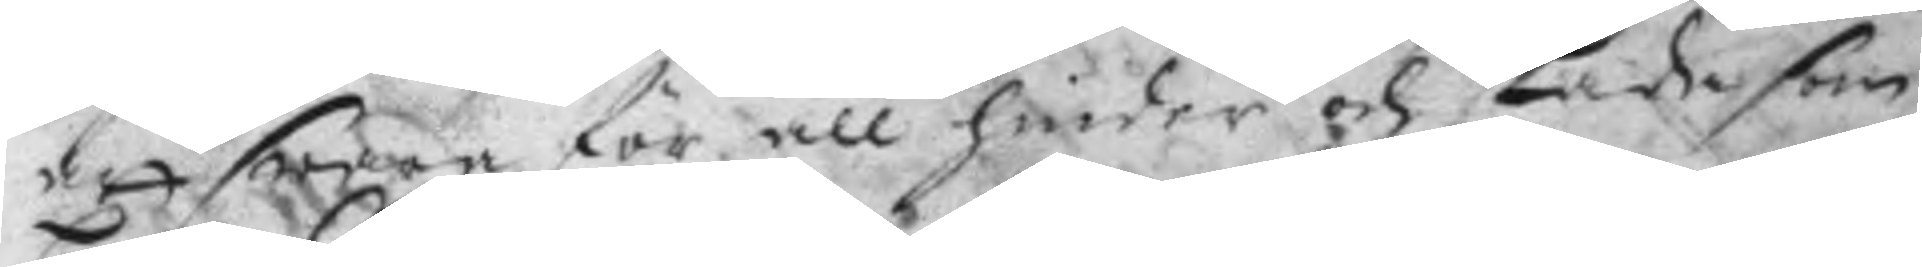att swara för all hinder och skada som
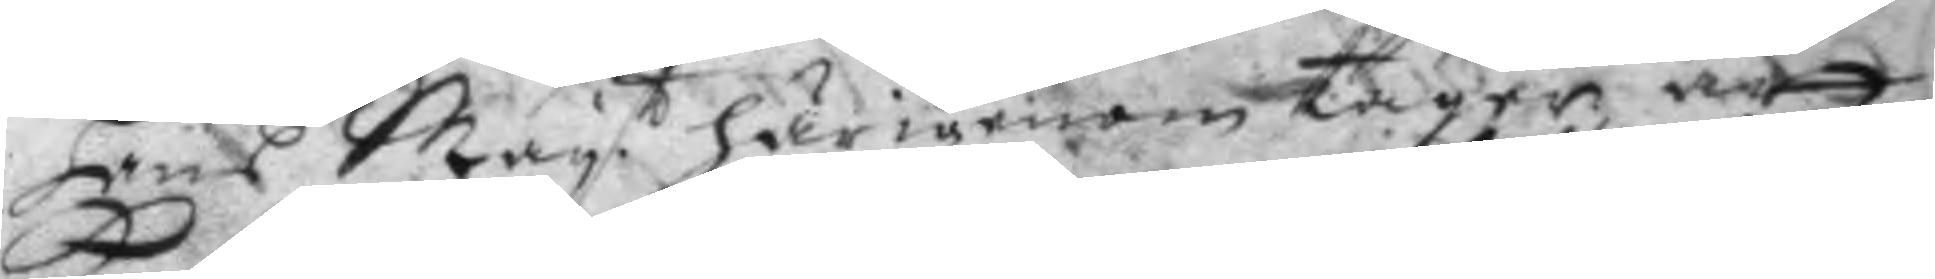Hans May.t härigenom tager, att 
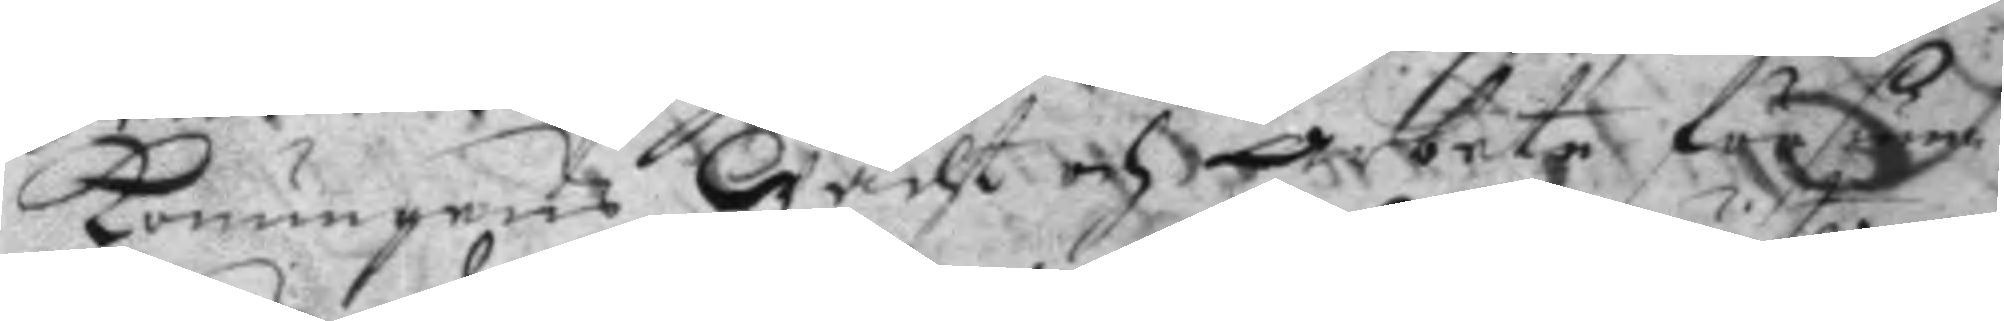Konungens Walst och arbete försäna
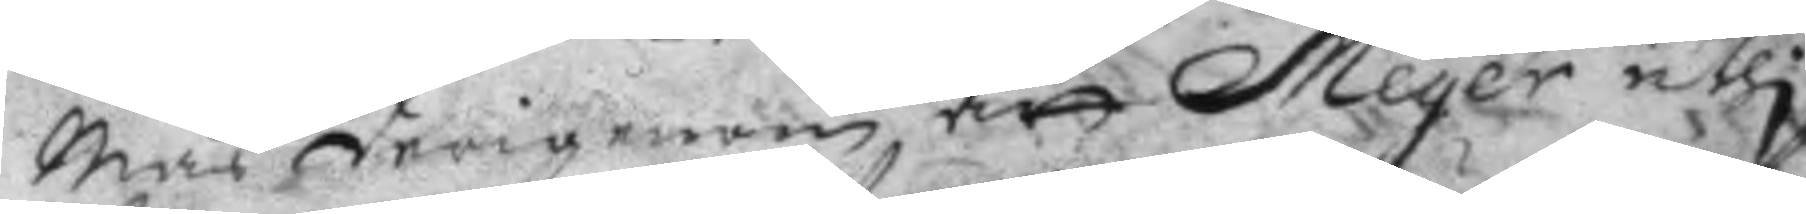Män derigenom att Meyer uthi
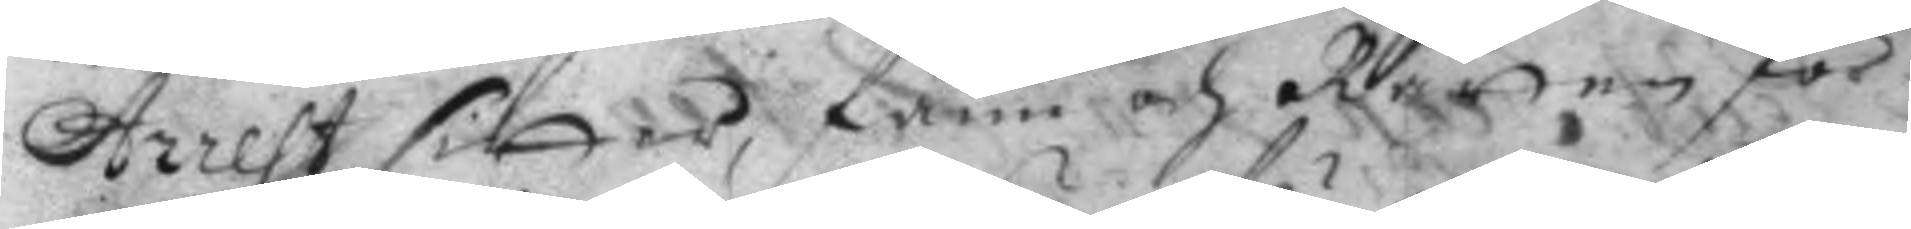Arrest sitter; fann och Rätten för
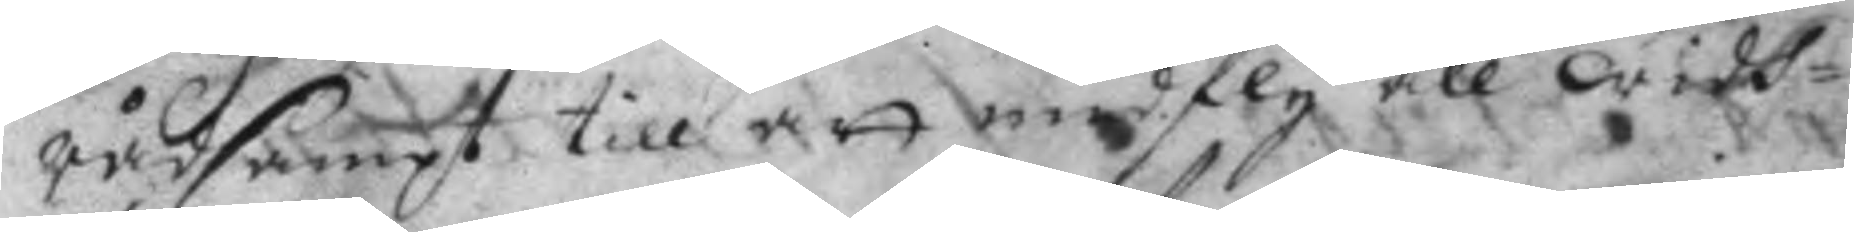rådsampt till att undfly all widh¬
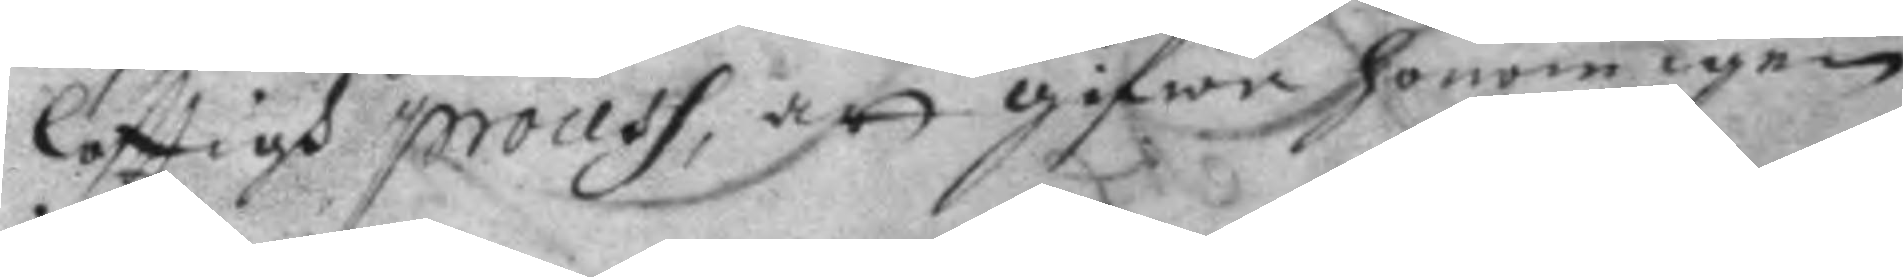löfttigh process, att gifwa honom igen
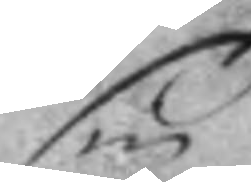sin
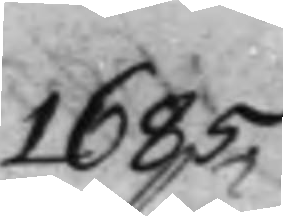1685.
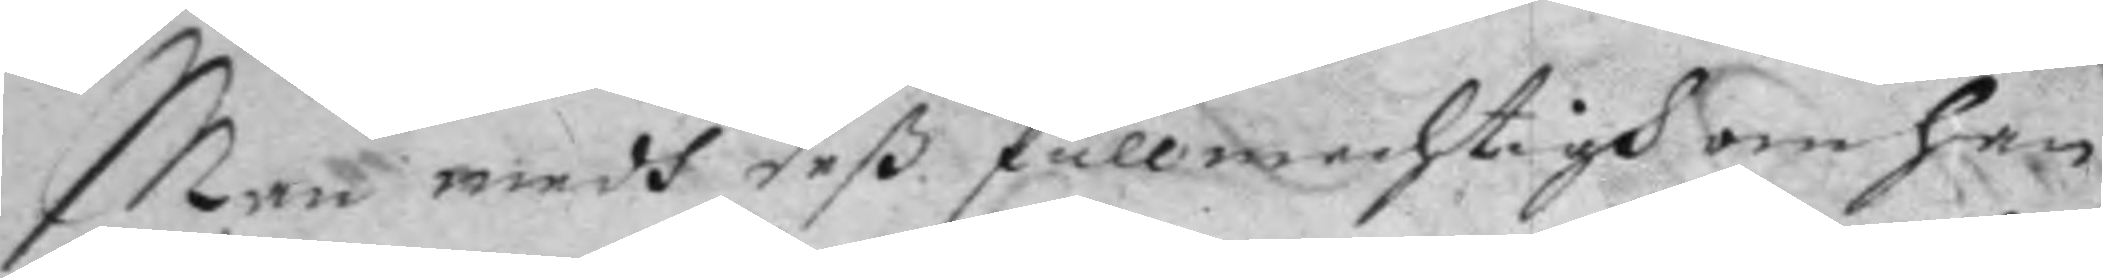Man medh deß fullmechtigh om han
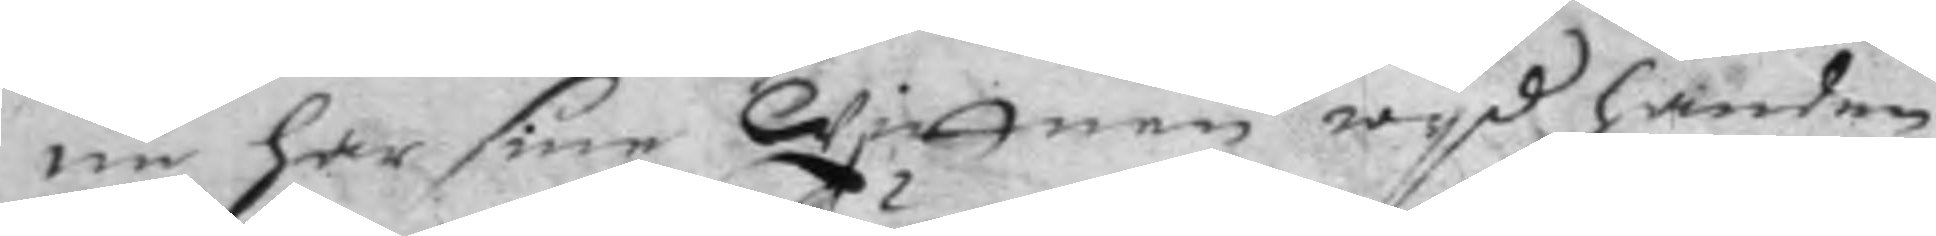nu har sine Wittnen wyd handen
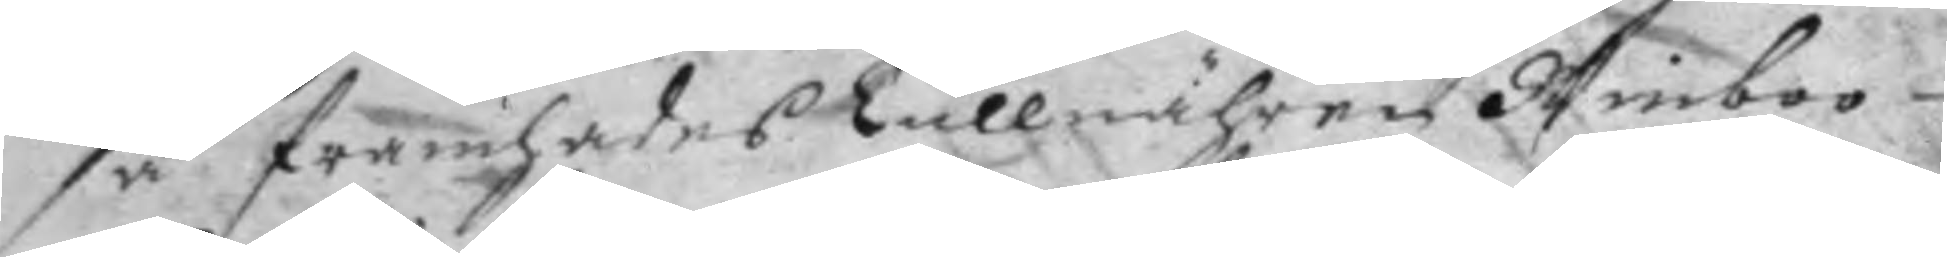så framhades Tullnähren Winboo
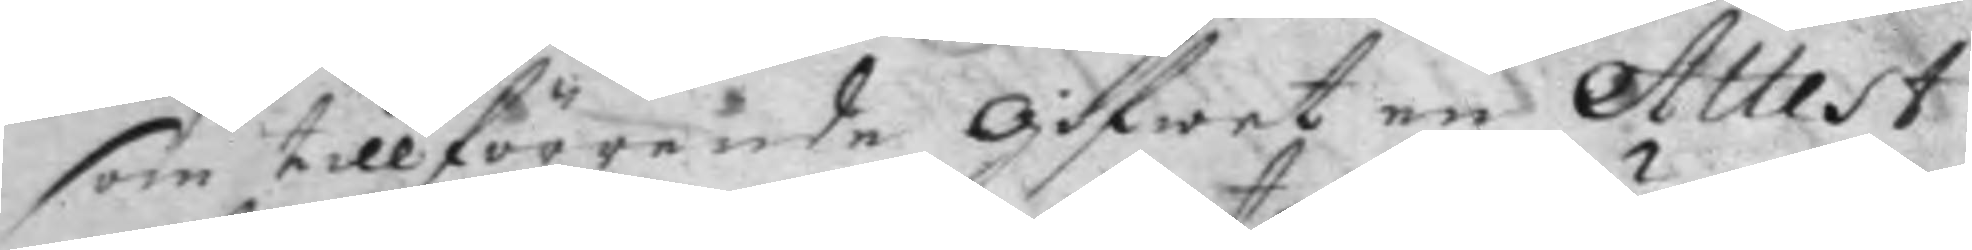som tillförenede gifwet en Attest
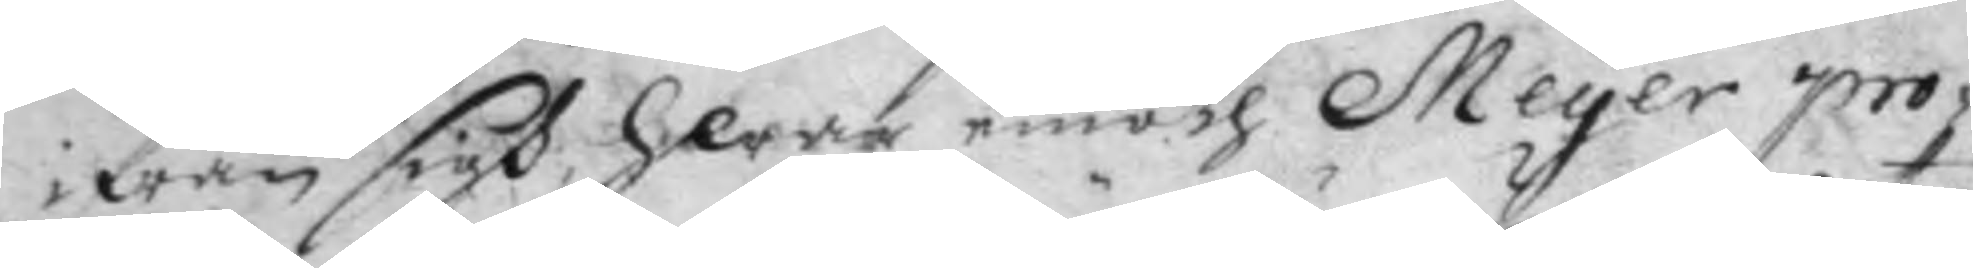ifrån sigh, Hwar emoth Meyer pro¬
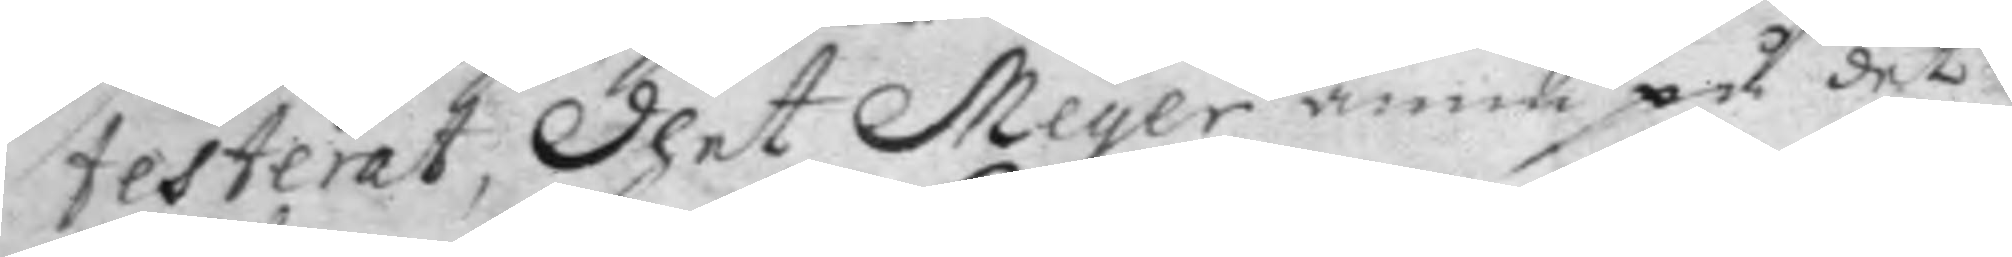testerat, dhet Meyer ännu på det
